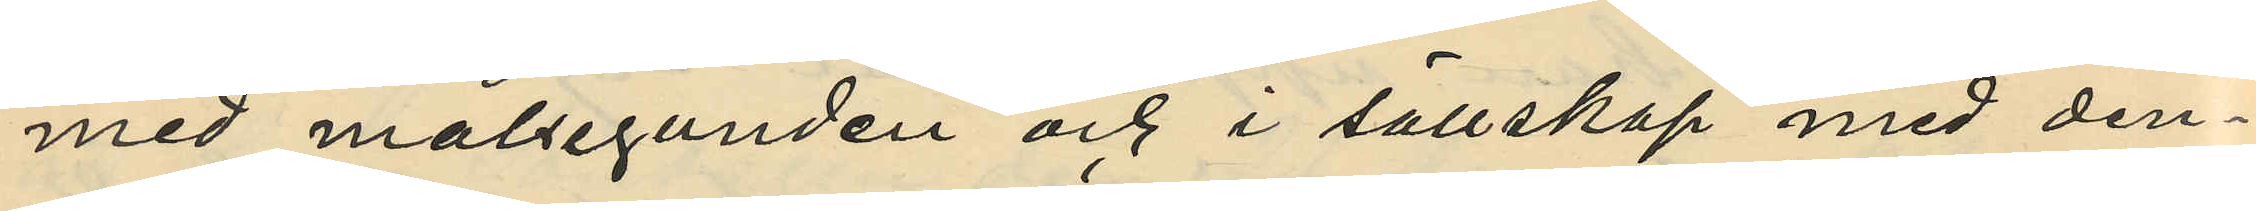med målseganden och i sällskap med den¬
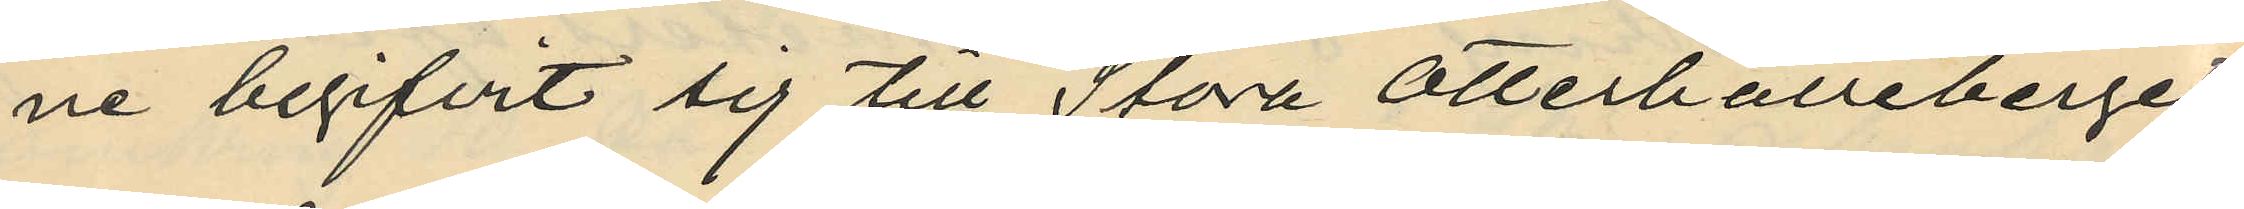ne begifvit sig till Stora Otterhälleberget,
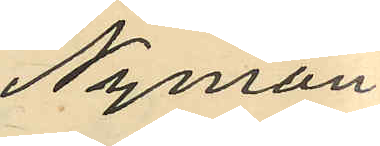Nyman
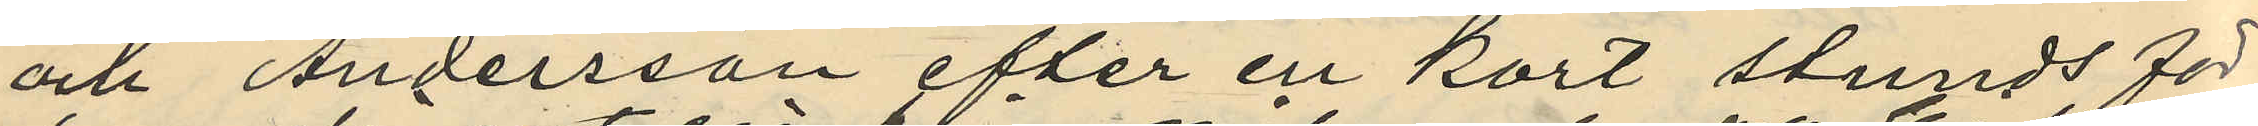och Andersson efter en kort stunds för¬
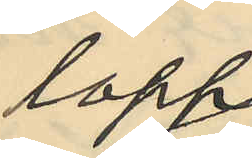lopp
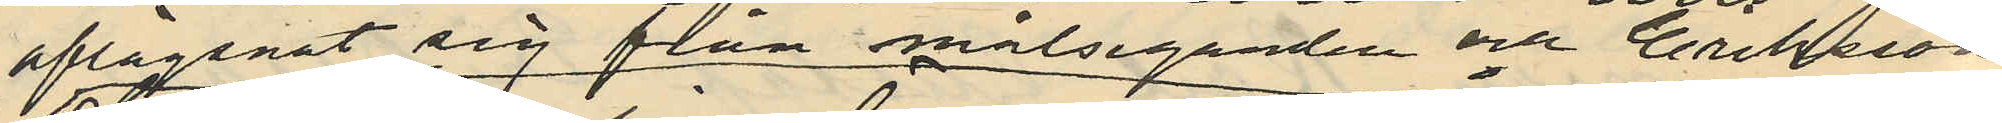aflägsnat sig från målseganden och Eriksson
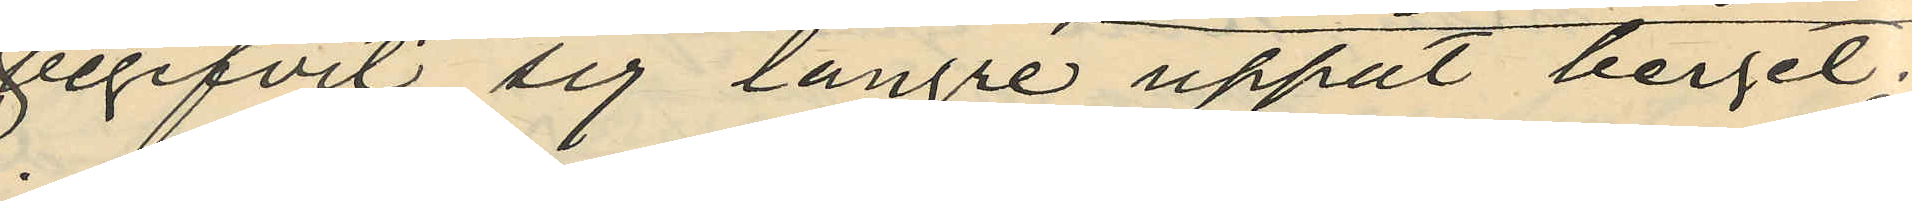begifvit sig längre uppåt berget;
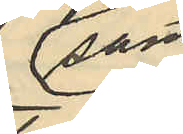Samt
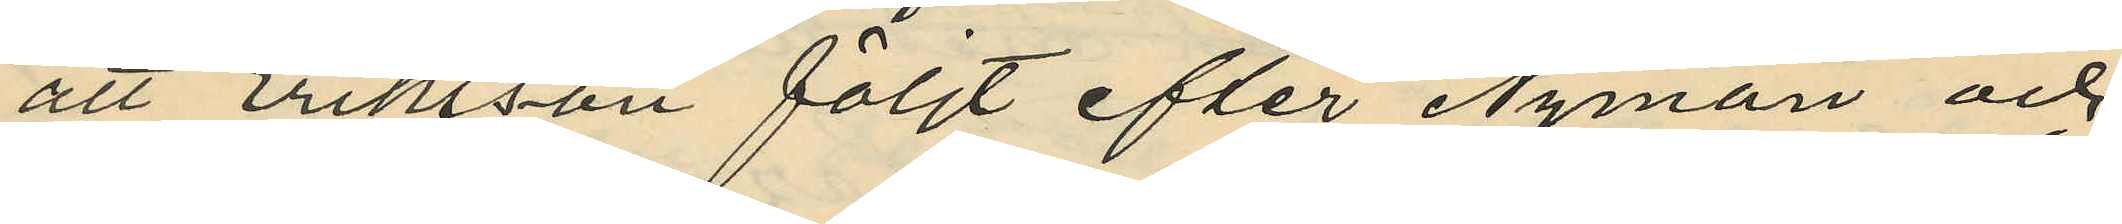att Eriksson följt efter Nyman och
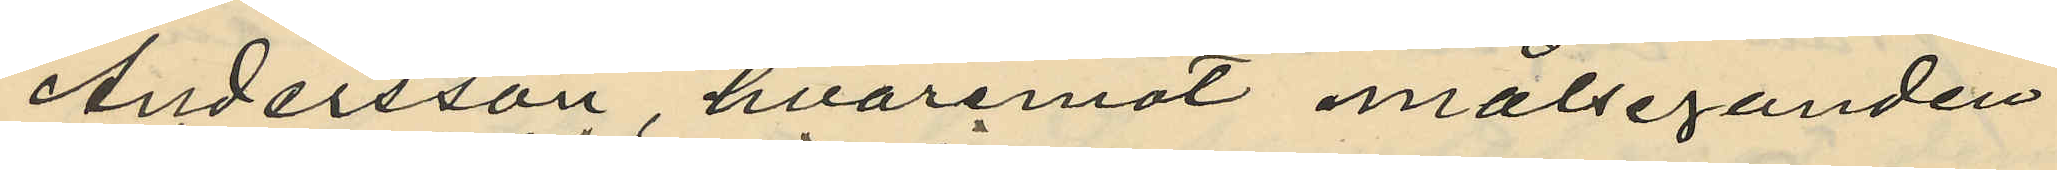Andersson hvaremot målseganden
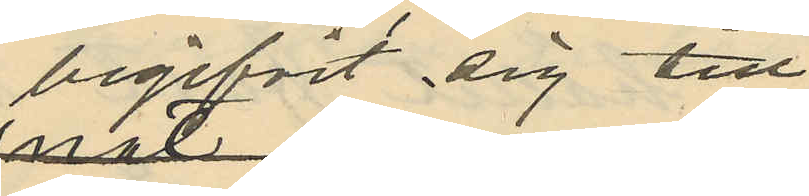begifvit sig till
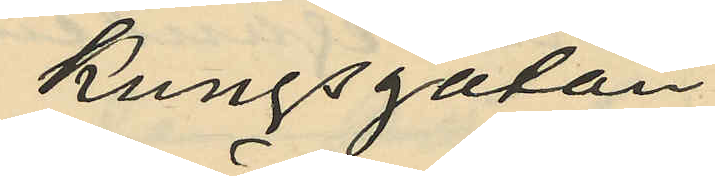Kungsgatan.
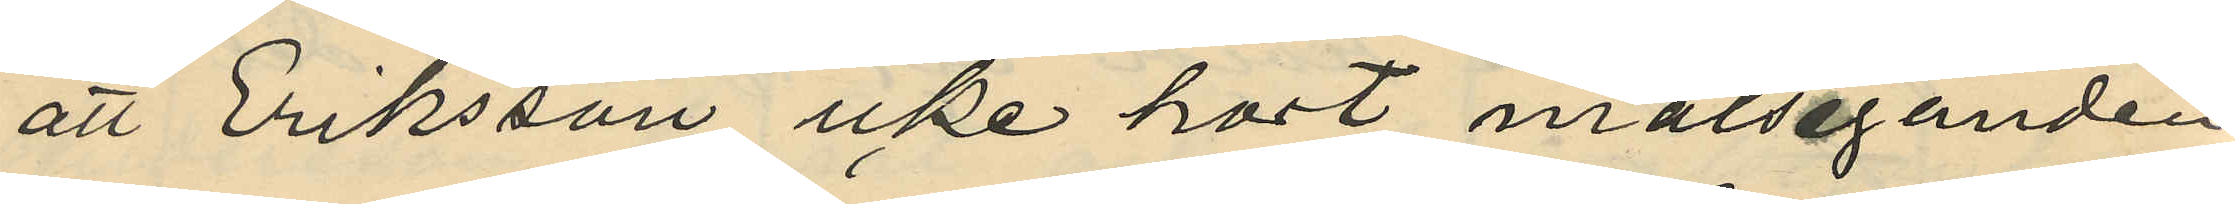att Eriksson icke hört målseganden
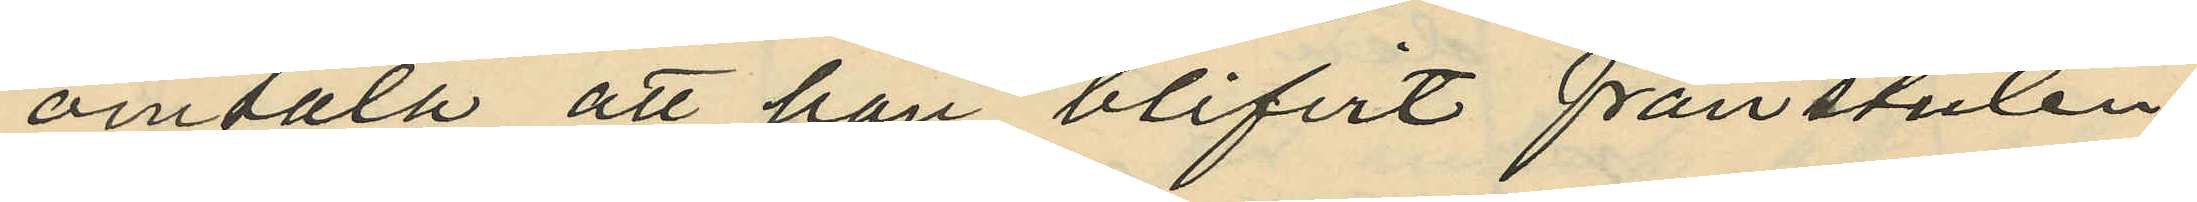omtala att han blifvit frånstulen
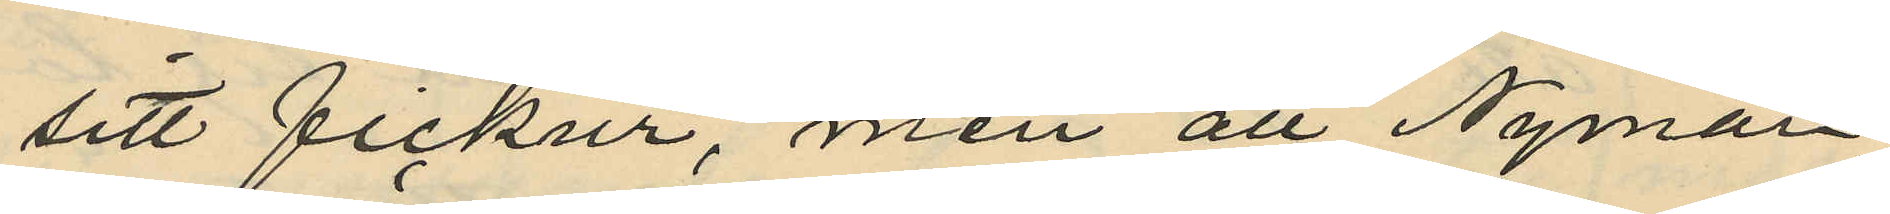sitt fickur, men att Nyman
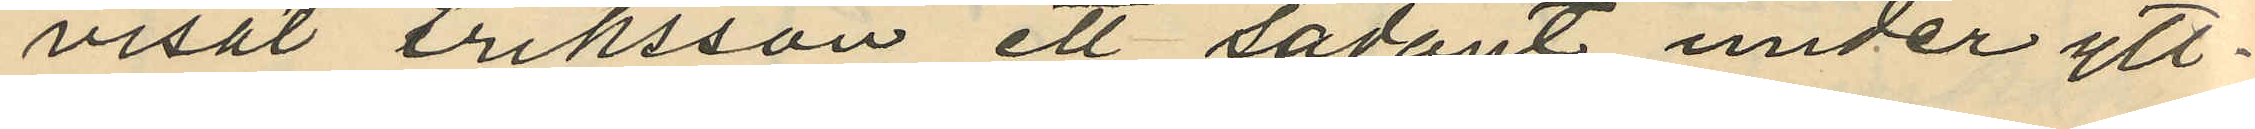visat riksson ett sådant under ytt¬
